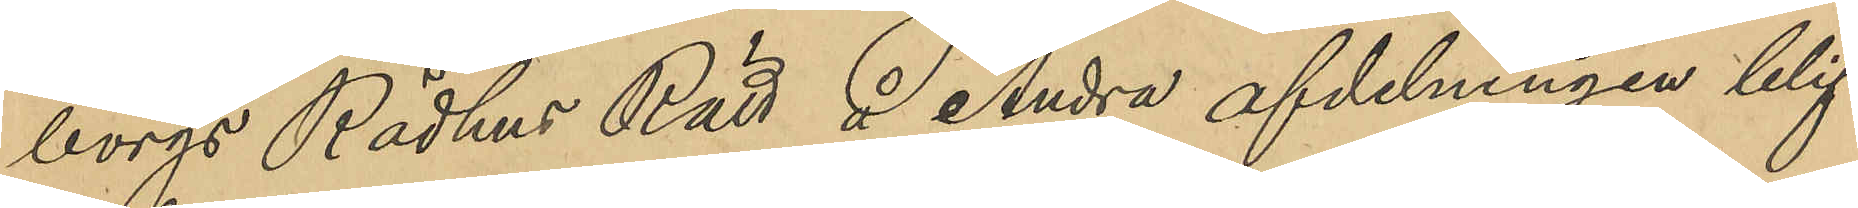borgs Rådhus Rätt å Andra afdelningen blif¬
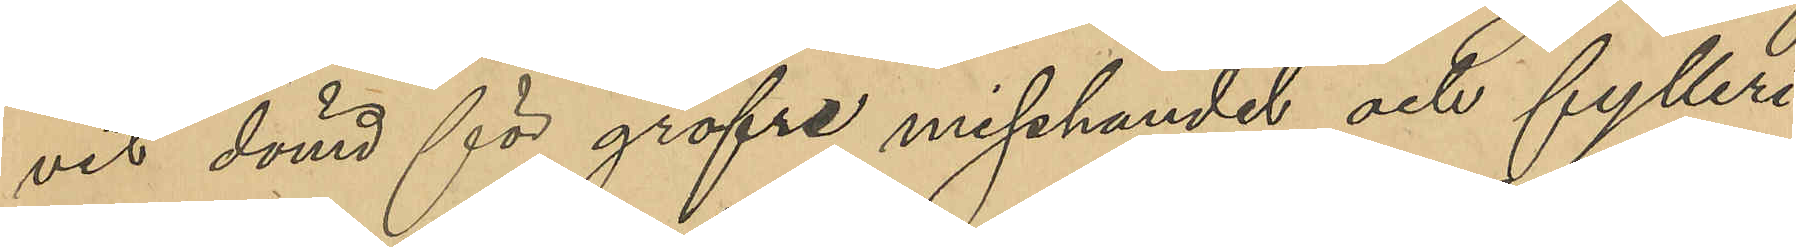vid dömd för gröfre misshandel och fylleri
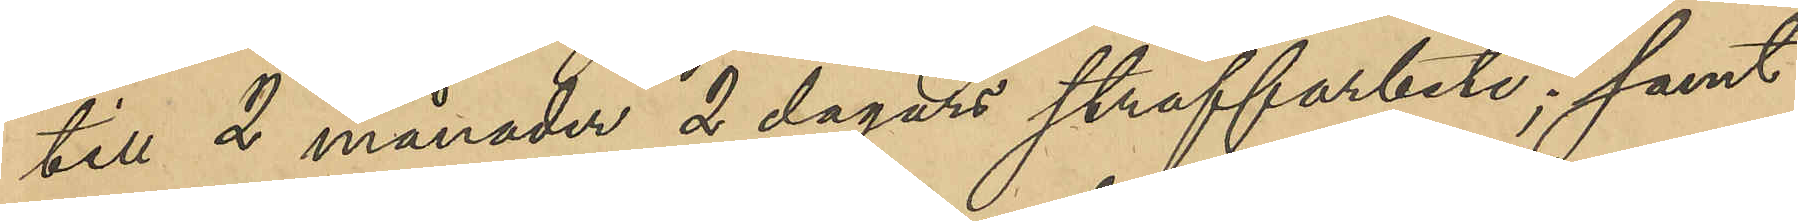till 2 månader 2 dagars straffarbete; samt
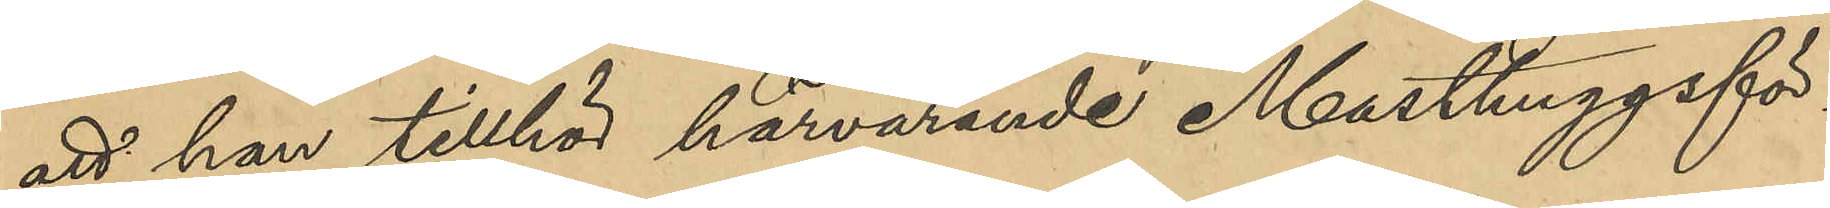att han tillhör härvarande Masthuggsför¬
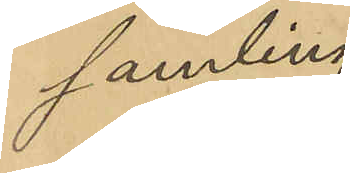samling.
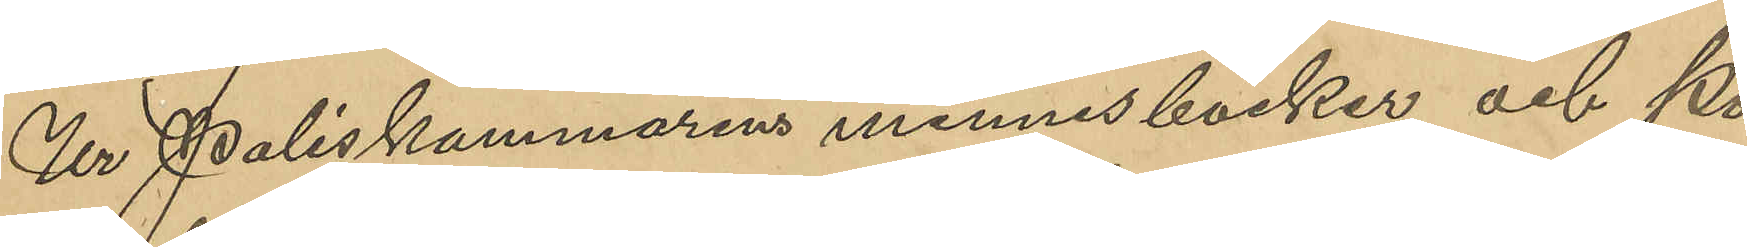Ur Poliskammarens minnesböcker och Po¬
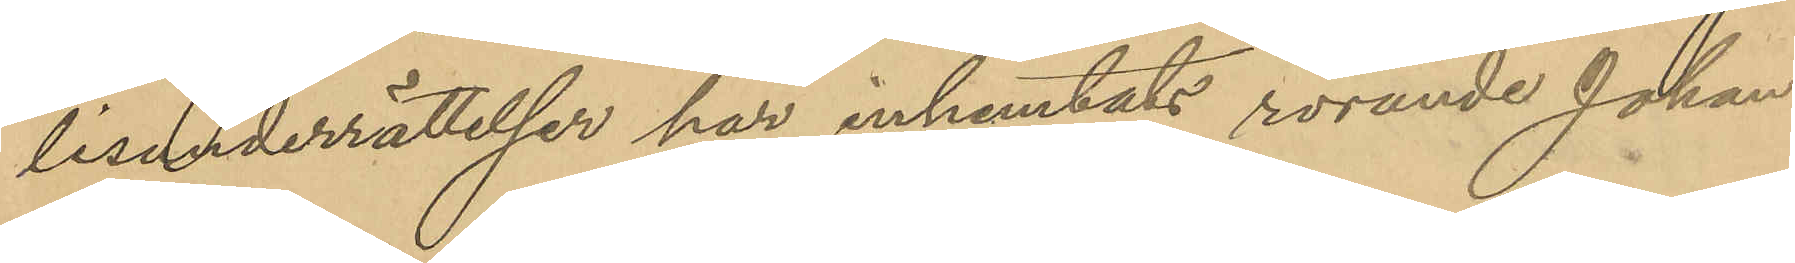lisunderrättelser har inhemtats rörande Johan
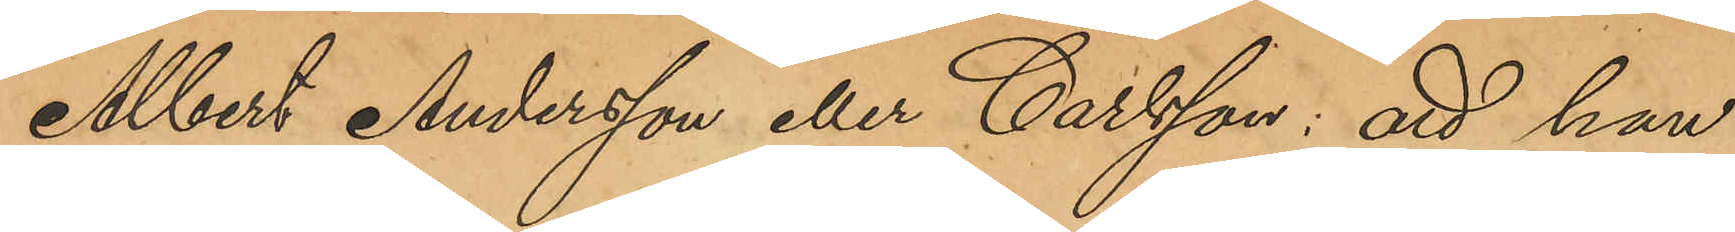Albert Andersson eller Carlsson: att han
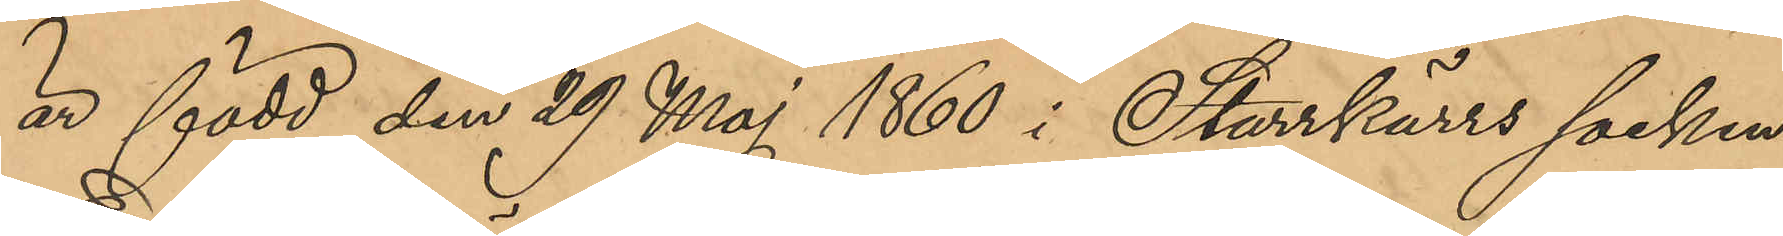är född den 29 Maj 1860 i Starrkärrs socken
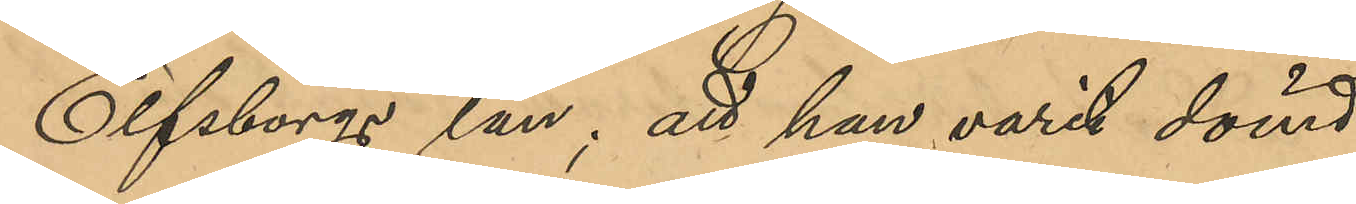Elfsborgs län; att han varit dömd:
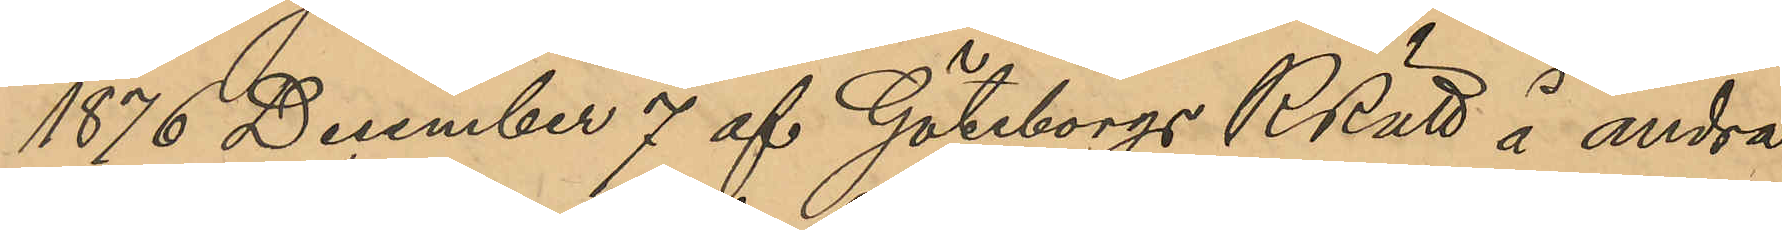1876 December 7 af Göteborgs RRätt å andra
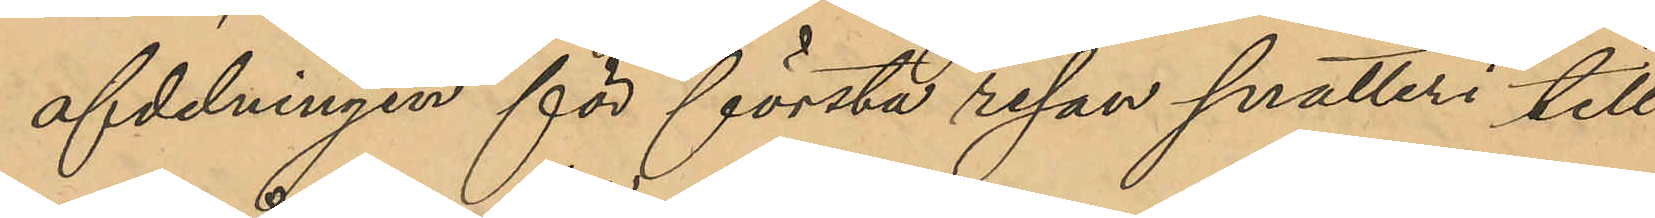afdelningen för första resan snatteri till
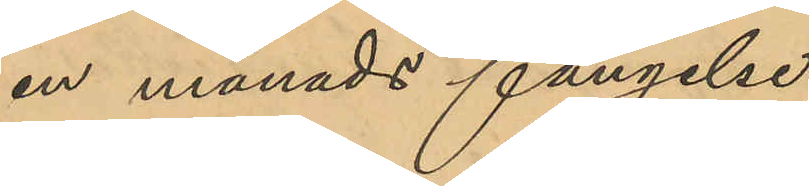en månads fängelse;
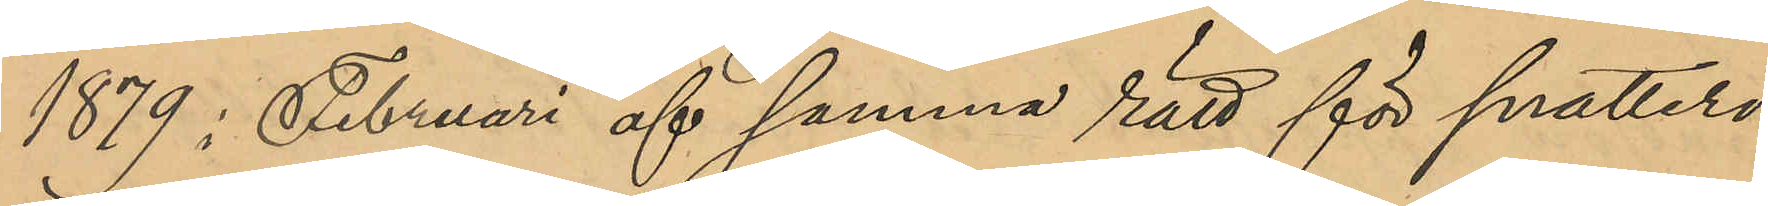1879 i Februari af samma rätt för snatteri
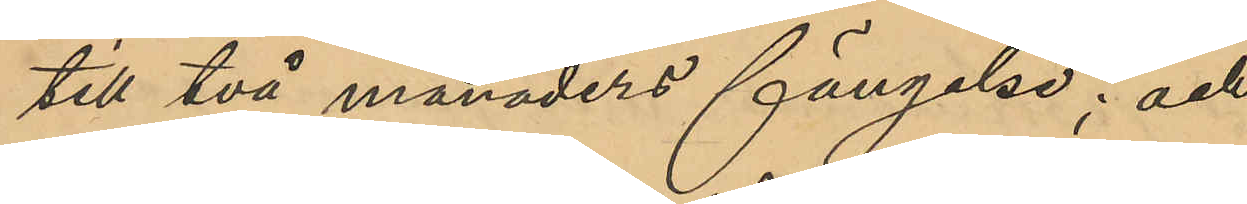till två månaders fängelse; och
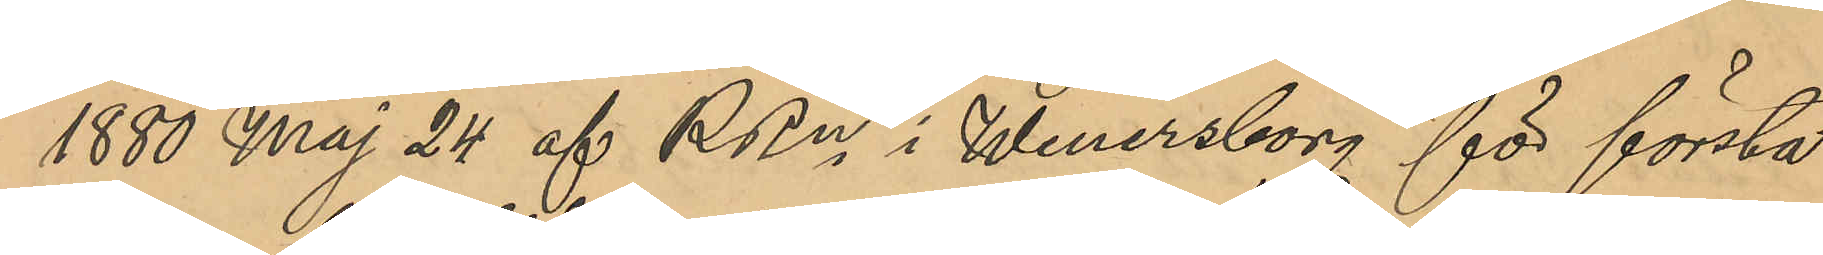1880 Maj 24 af RRn i Wenersborg för första
